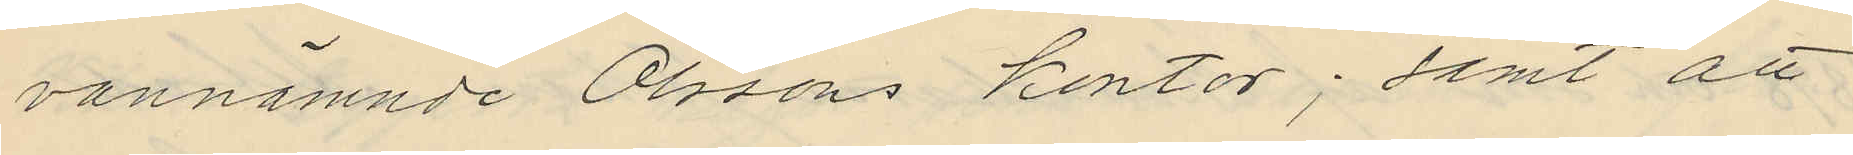vannämnde Olssons kontor; samt att
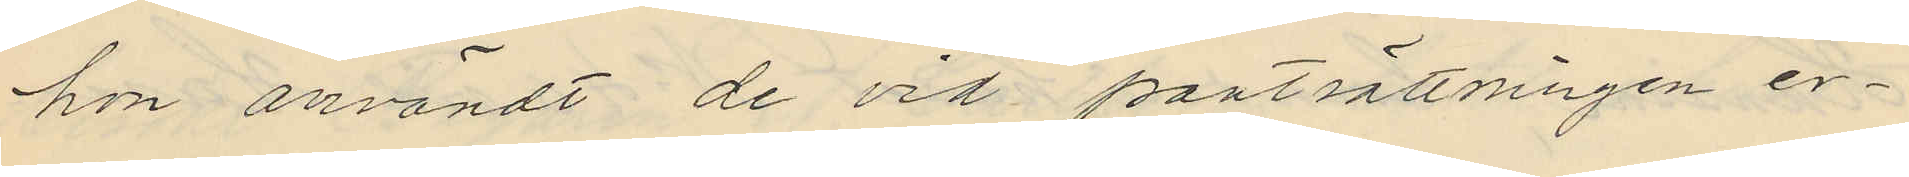hon användt de vid pantsättningen er¬
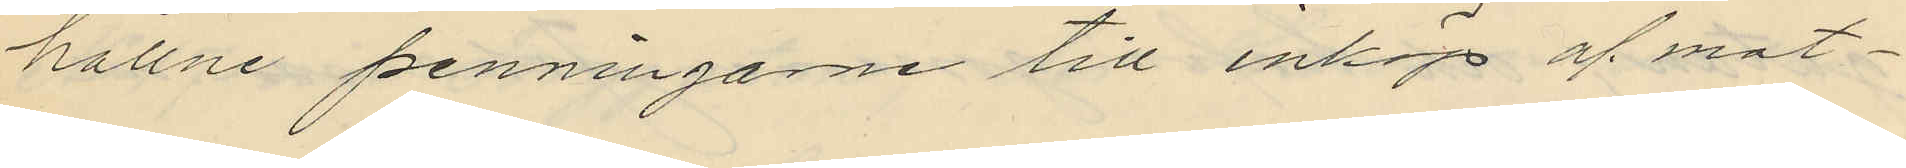hållne penningarne till inköp af mat¬
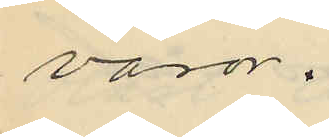varor.
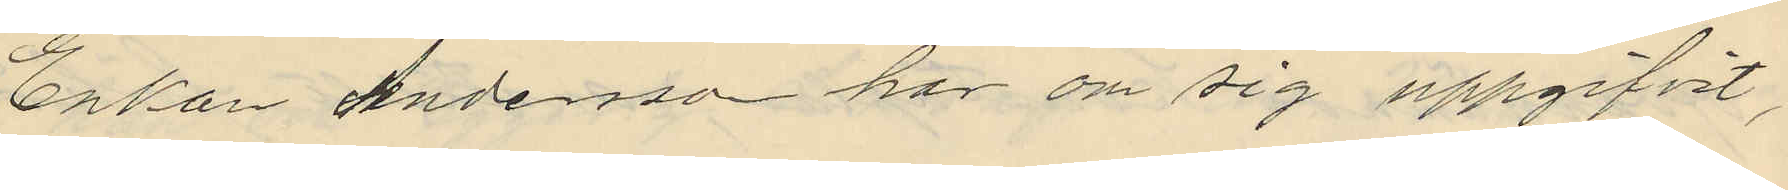Enkan Andersson har om sig uppgifvit,
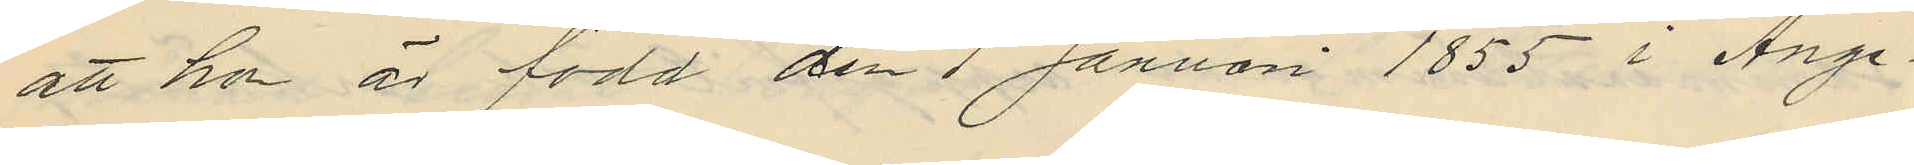att hon är född den 1 Januari 1855 i Ange¬
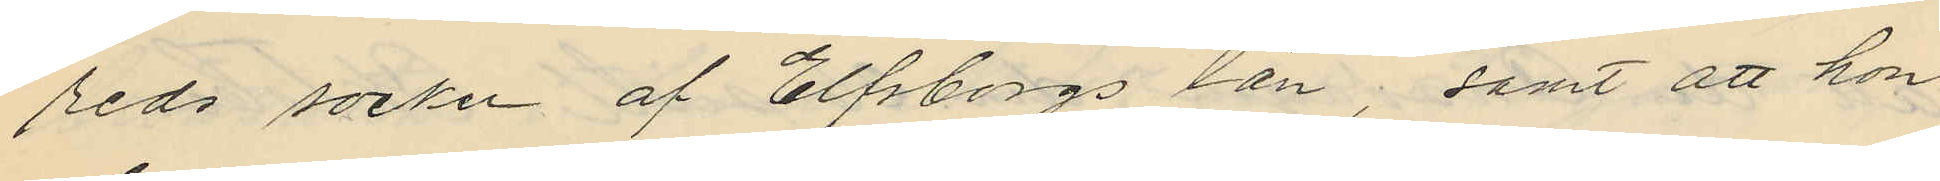reds socker af Elfsborgs län; samt att hon
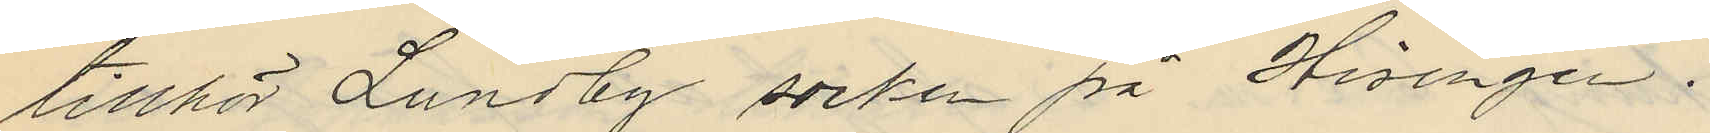tillhör Lundby socken på Hisingen.
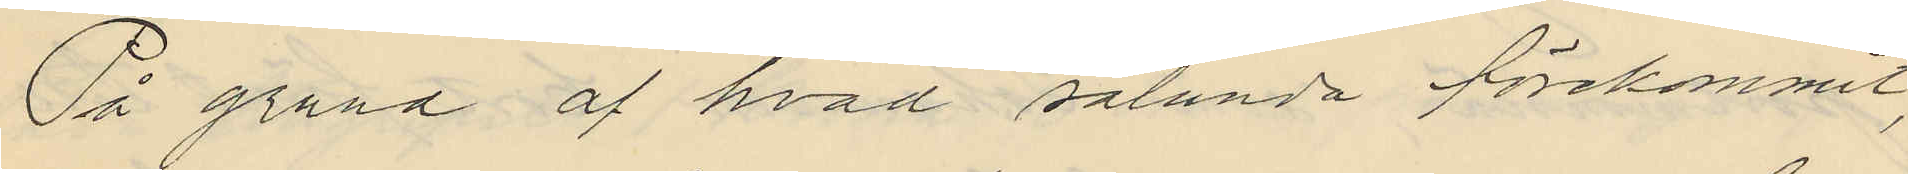På grund af hvad sålunda förekommit,
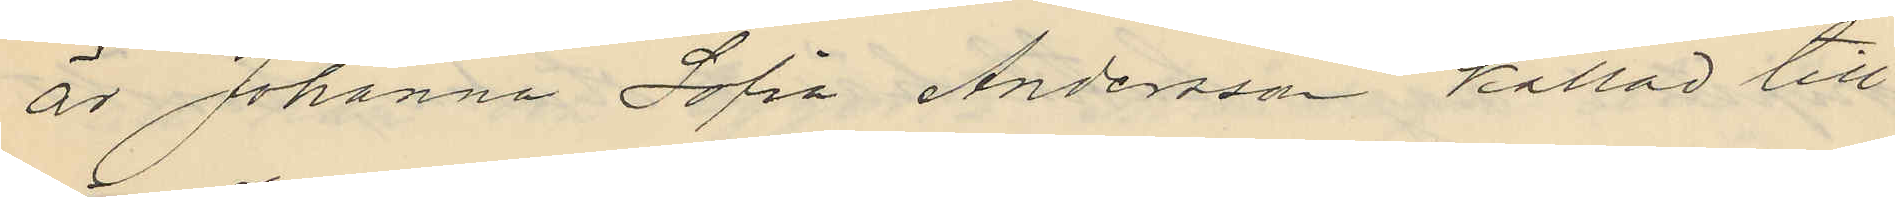är Johanna Sofia Andersson kallad till
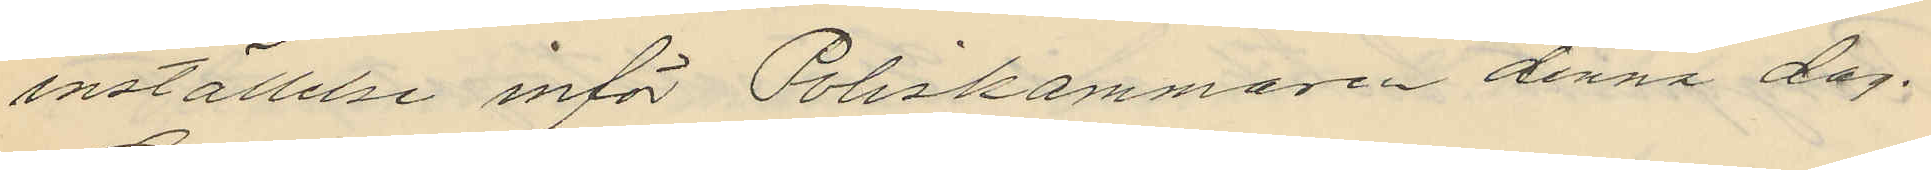inställelse inför Poliskammaren denna dag.
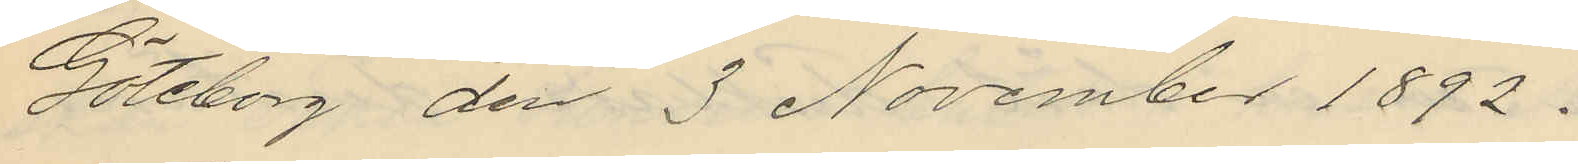Göteborg den 3 November 1892.
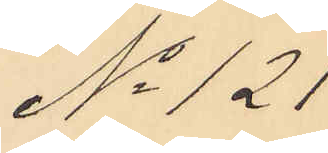No 121
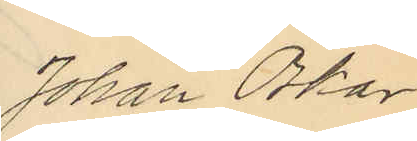Johan Oskar
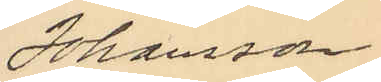Johansson
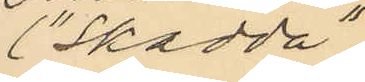("Skadda")
